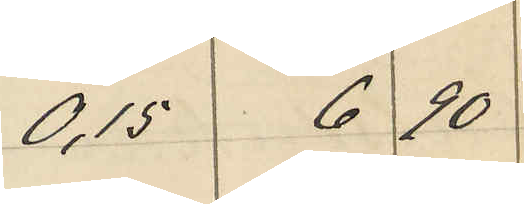0,15 6 90
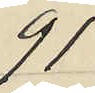91
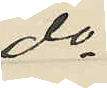do
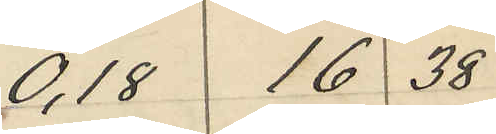0,18 16 38
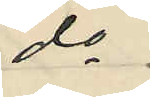do
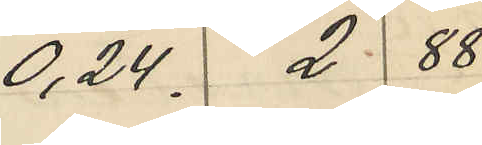0,24 2 88
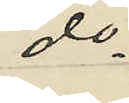do
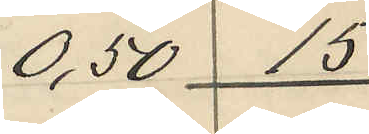0,50 15
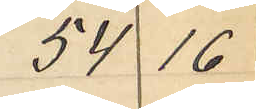54 16
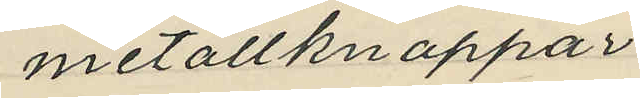metallknappar
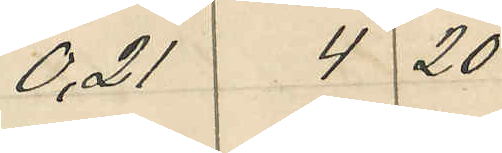0,21 4 20
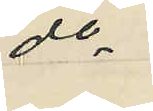do
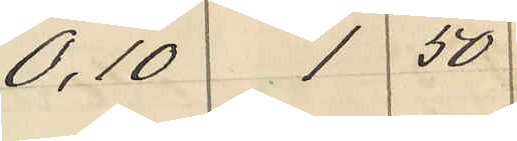0,10 1 50
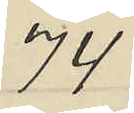74
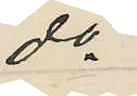do
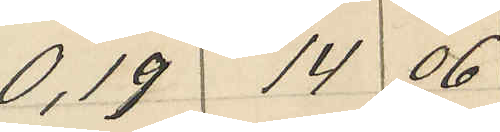0,19 14 06
